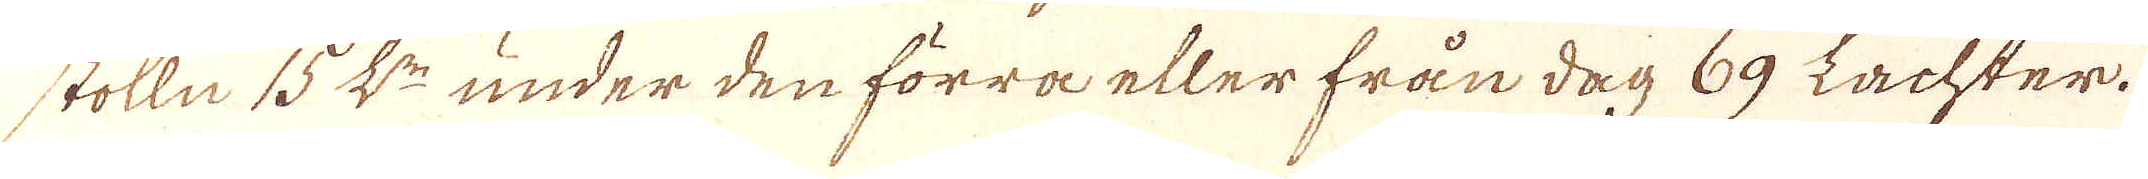stolln 15 L:r under den förra eller från dag 69 Lachter.
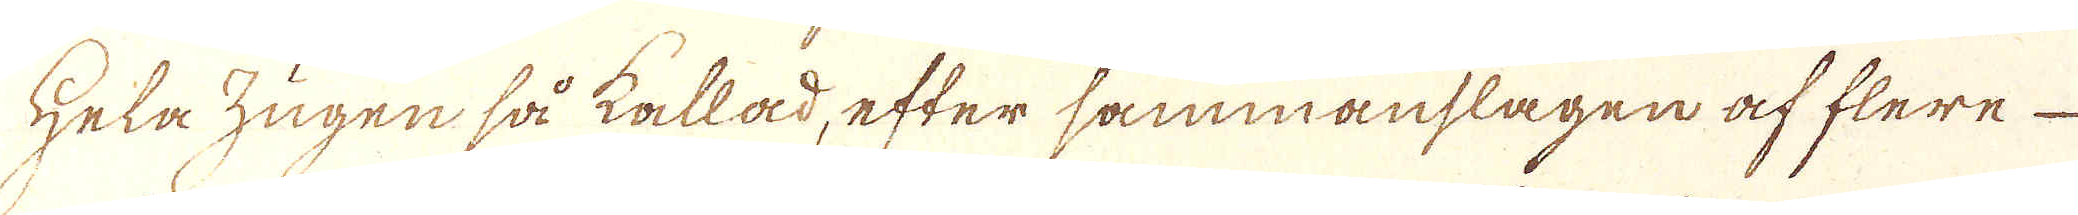Hela Zugen så kallad, efter sammanslagen af flere
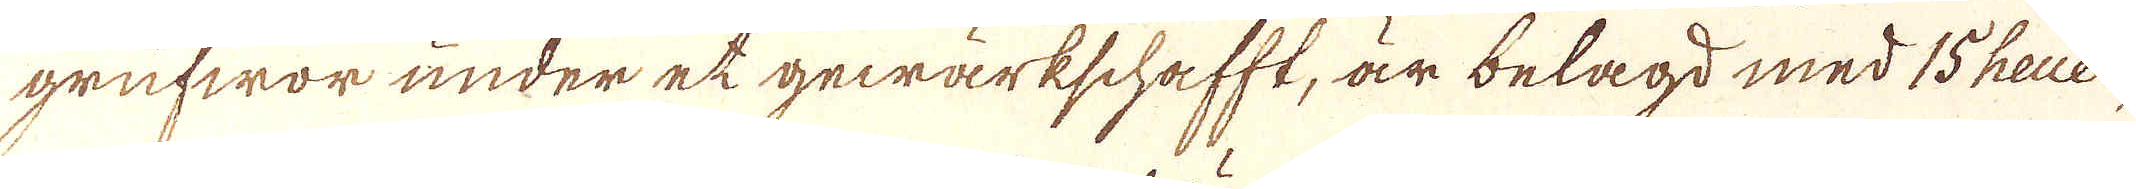grufwor under et gewärkschafft, är belagd med 15 heuer,
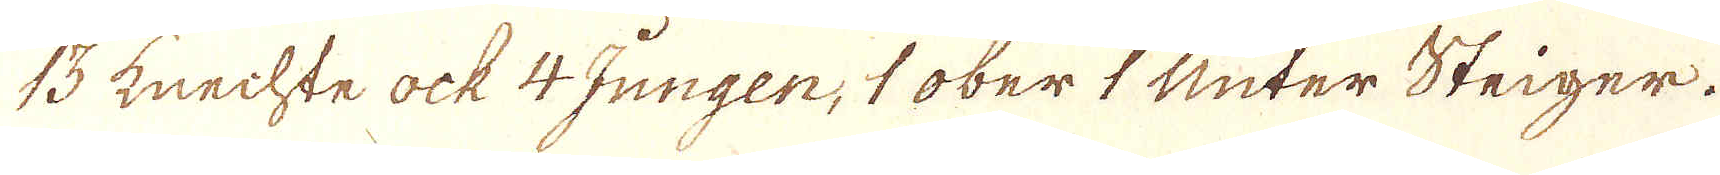13 Knechte ock 4 Jungen, 1 ober 1 Unter Steiger.
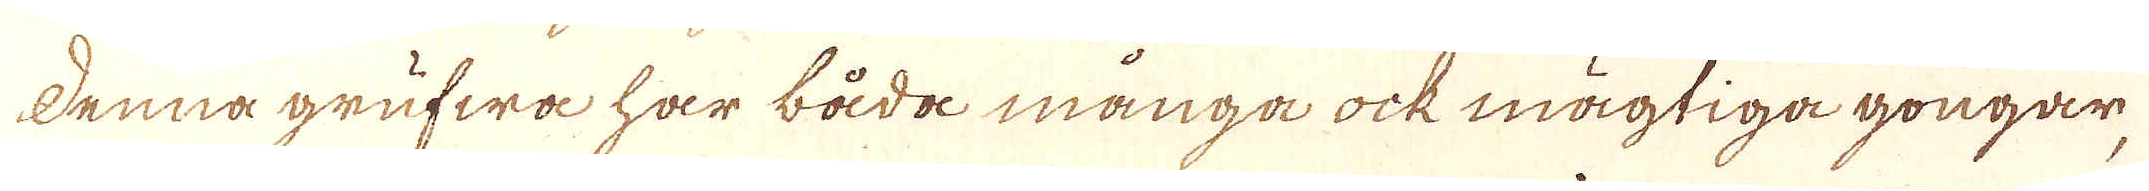denna grufwa har båda många ock mägtiga gongar-
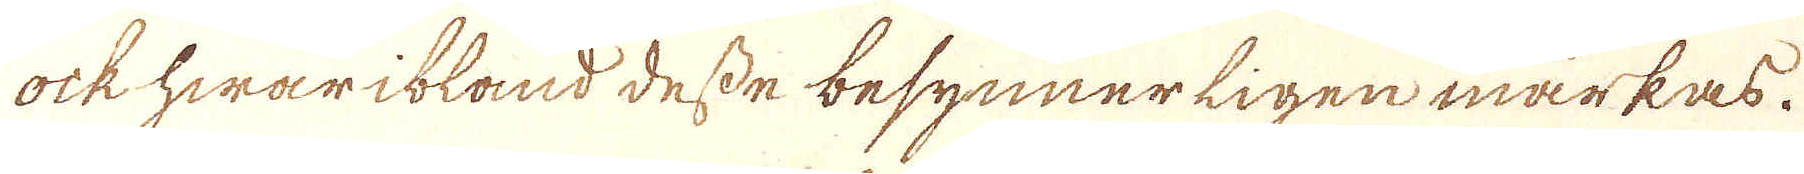ock hwaribland desse besynnerligen märkas.
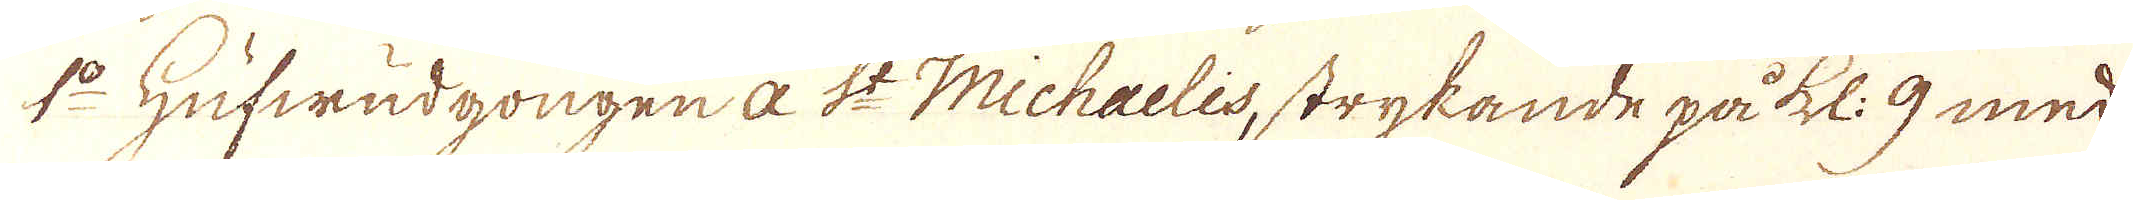1:o Hufwudgongen a St Michalis, strykande på kl: 9 med
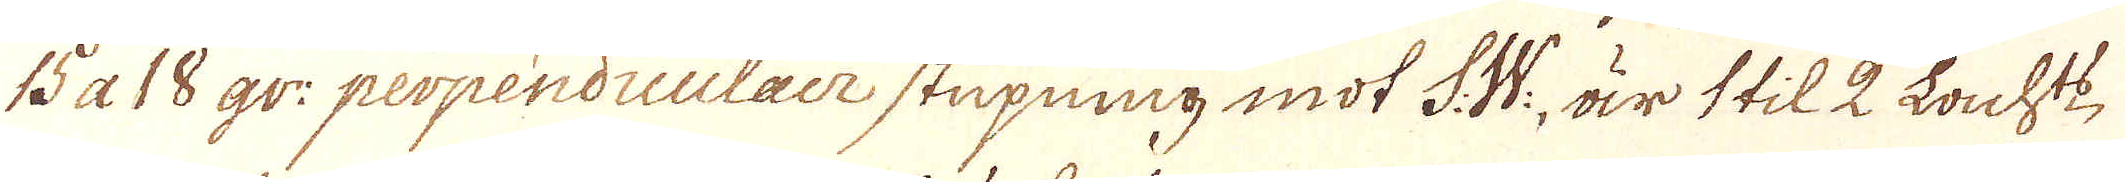15 a 18 gr: perpendiculair stupning mot S.W:, är til 2 Lacht,
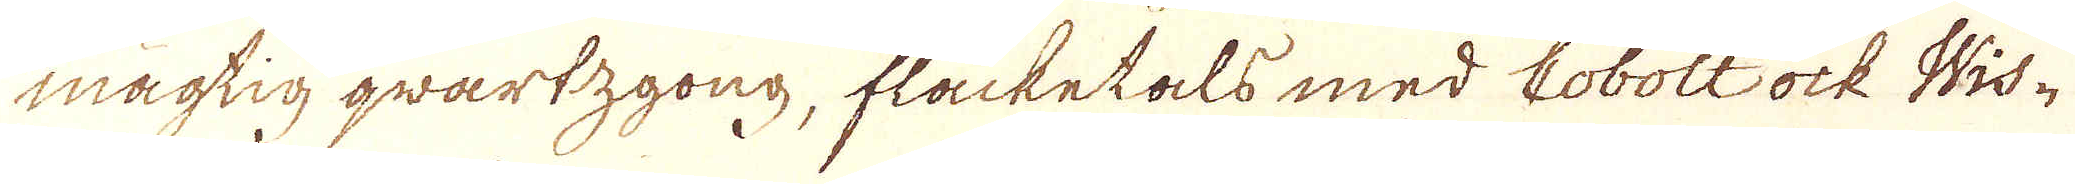mägtig qwartzgong, fläcketals med Cobolt ock Wis-
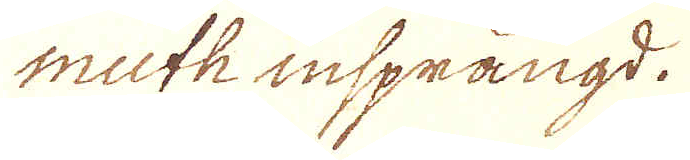muth insprängd.
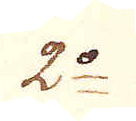2:o
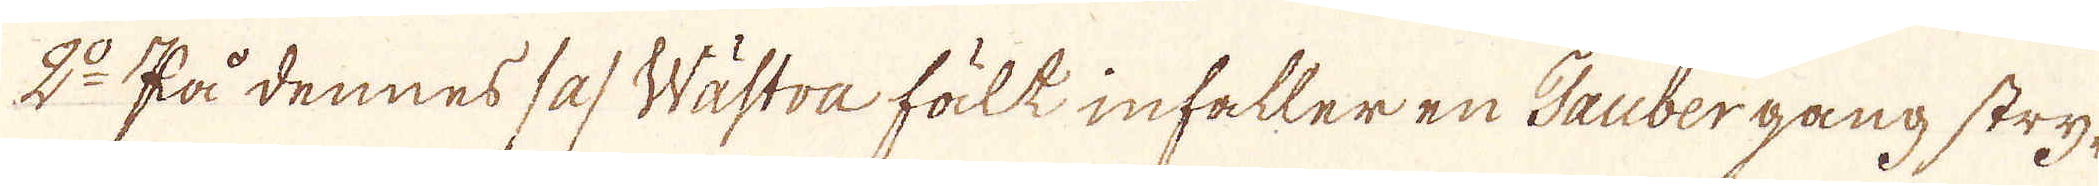2:o På dennes /a/ Wästra fält infaller en Taubergang stry-
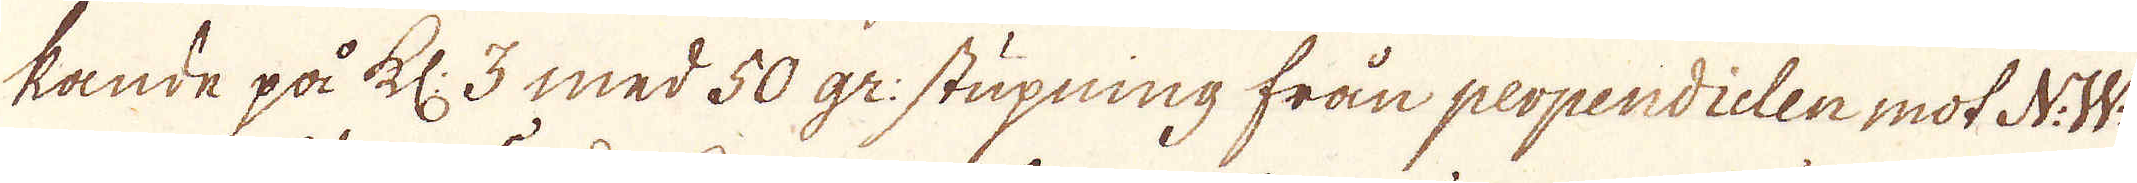kande på kl: 3 med 50 gr: stupning från perpendielen mot N.W.
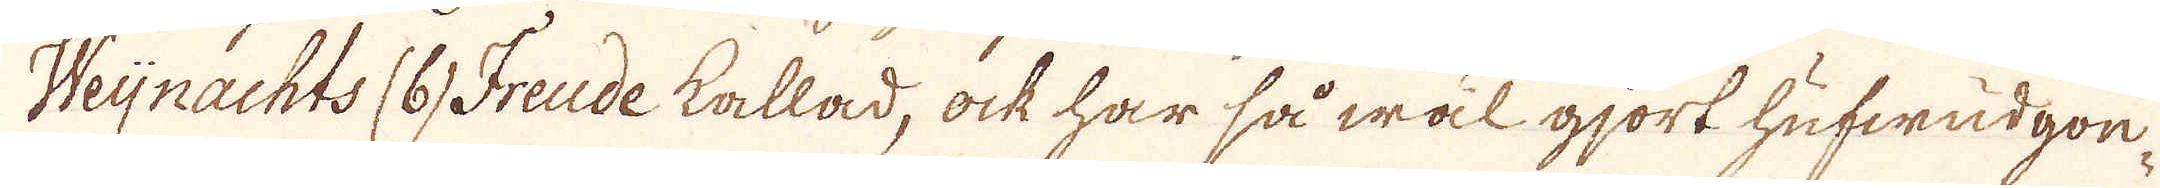Weijnachts (6) Freude kallad, ock har så wäl gjort hufwudgon-
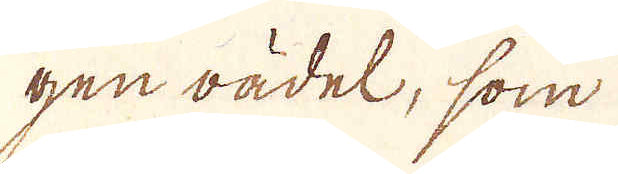gen oädel, som
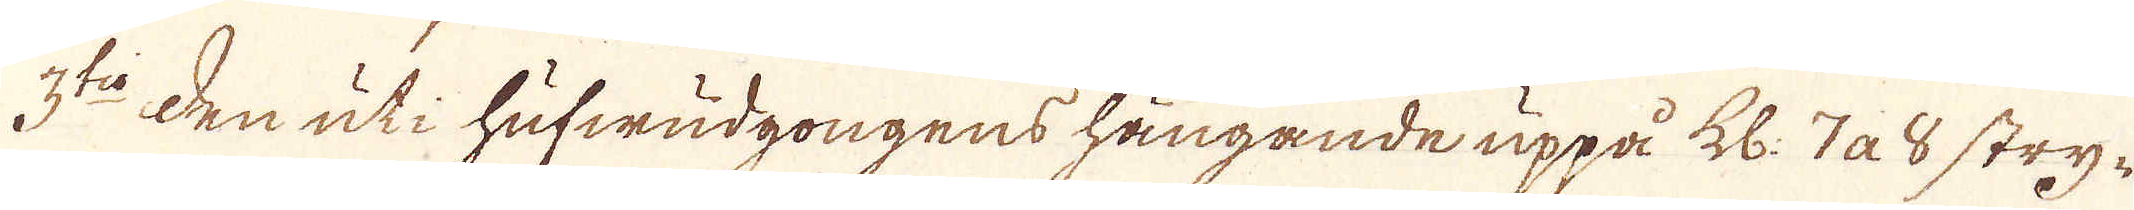3:to den uti hufwudgongens hängande uppå kl: 7 a 8 stry-
